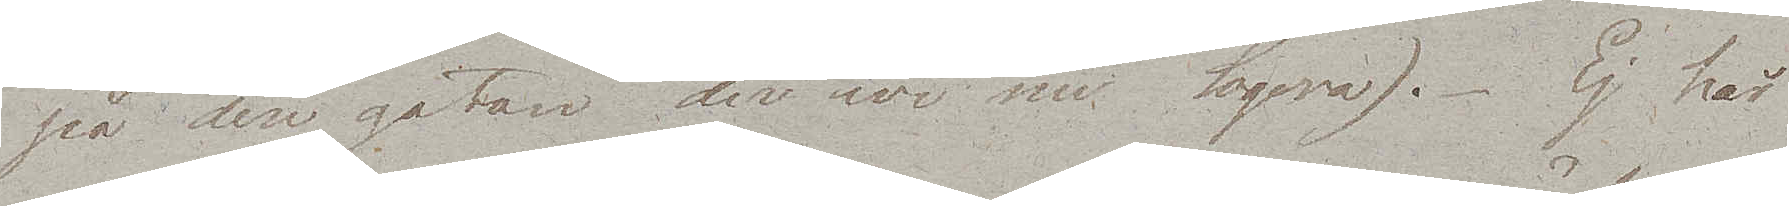på den gatan der wi nu Logera). Ej här
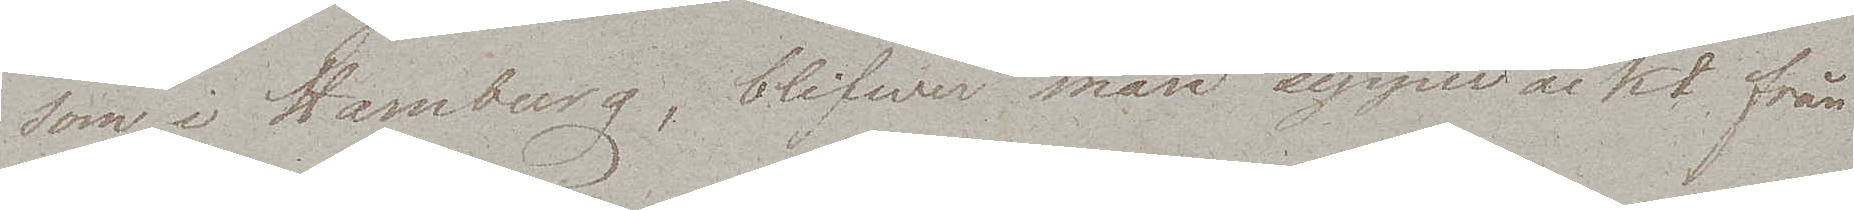som i Hamburg, blifwer man uppväckt från
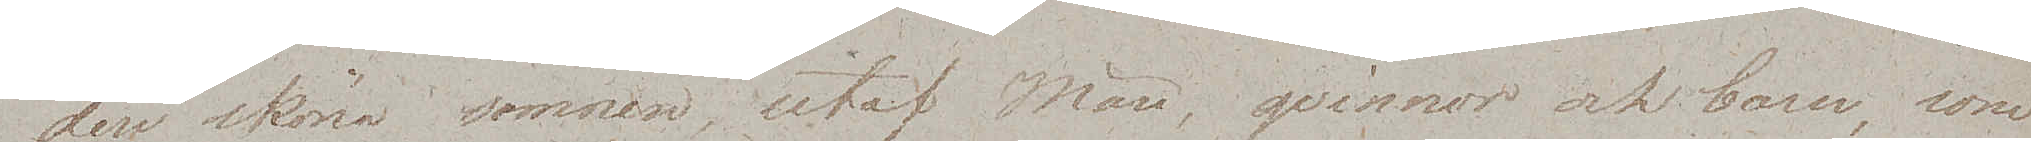den sköna sömnen, utaf Män, qvinnor och barn, som
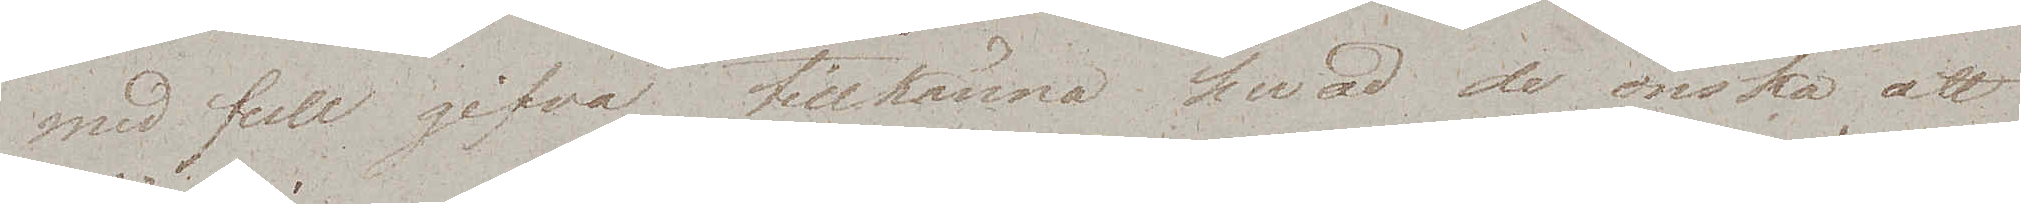med full gifva tillkänna hvad de önska att
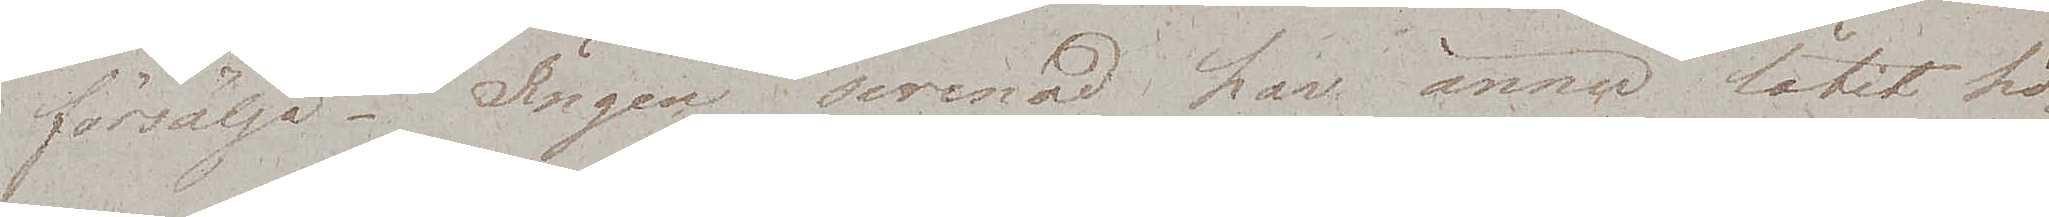försälja. Ingen serenad har ännu låtit hö¬
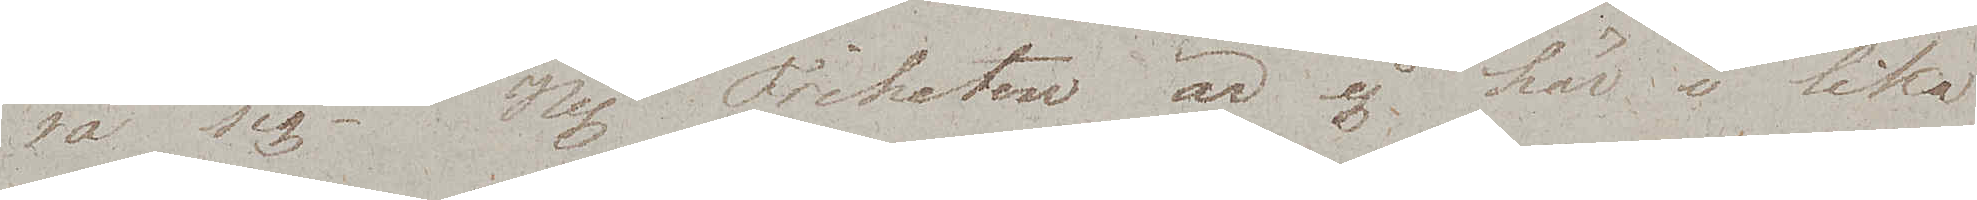ra sig. Nej. Friheten är ej här i lika
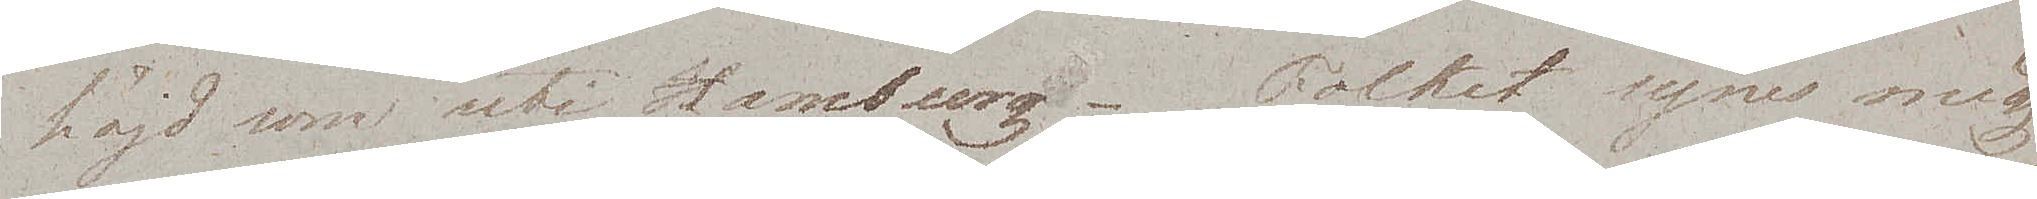höjd som uti Hamburg. Folket synes mig
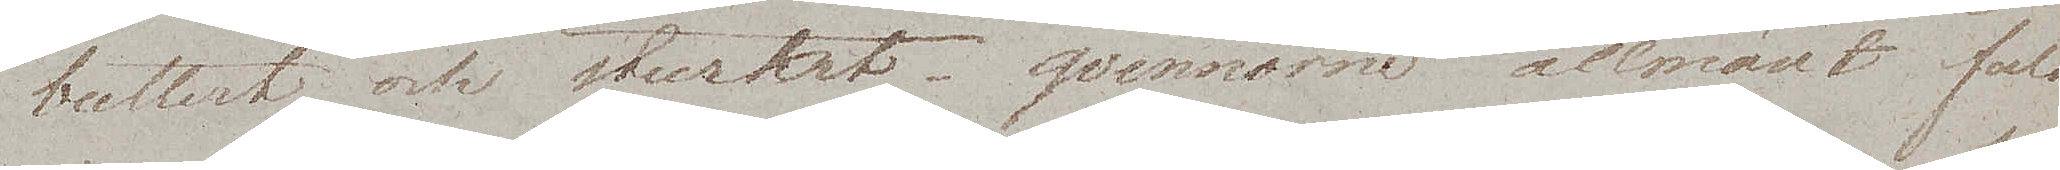buttert och sturskt; qvinnorne allmänt fula.
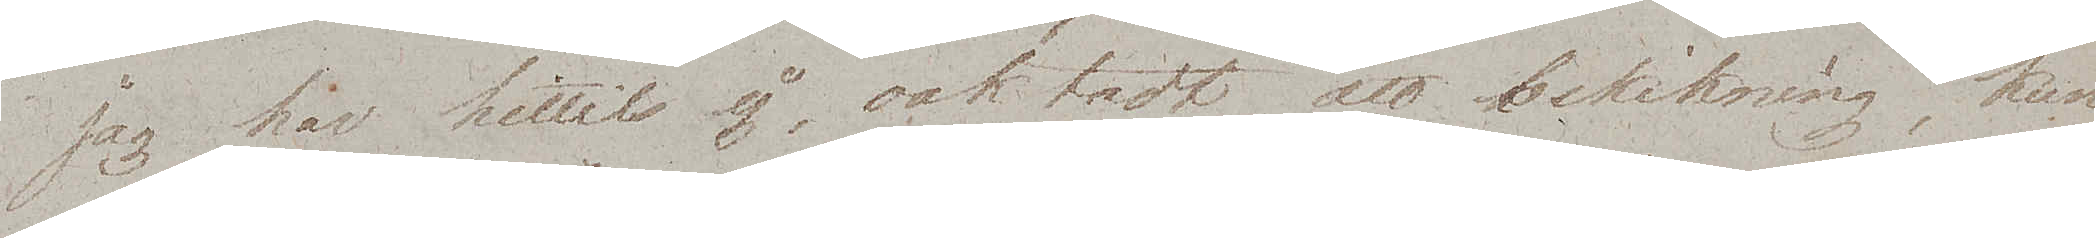Jag har hittils ej, oaktadt all bekikning, kun¬
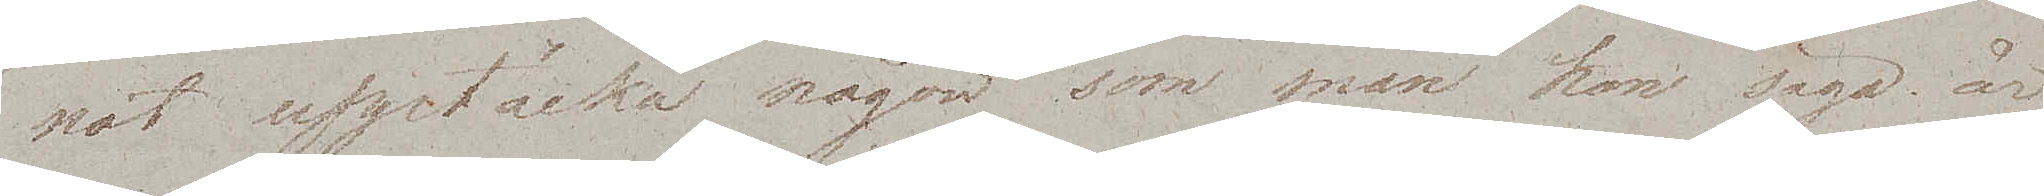nat upptäcka någon som man kan säga är
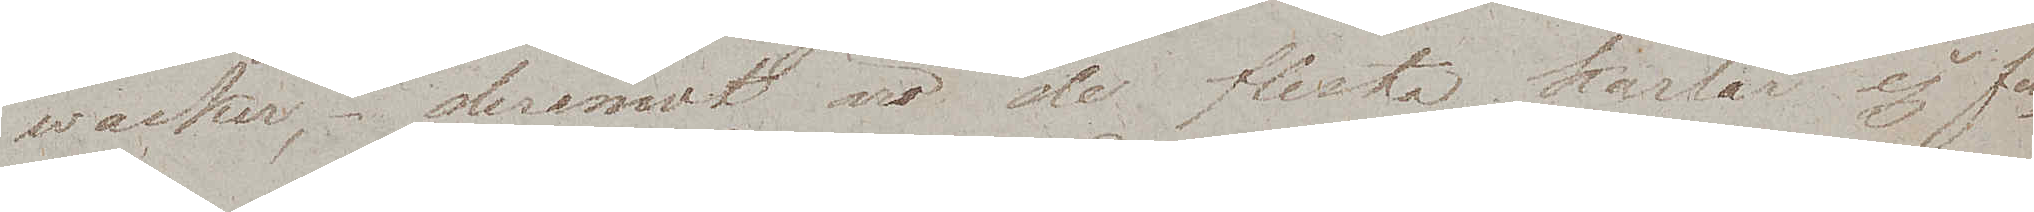wacker, deremot äro de flesta karlar ej fu¬
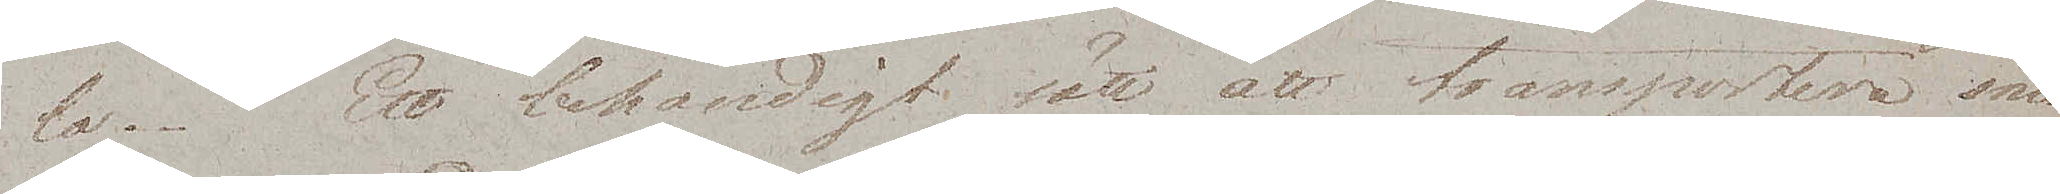la. Ett behändigt sätt att transportera sina
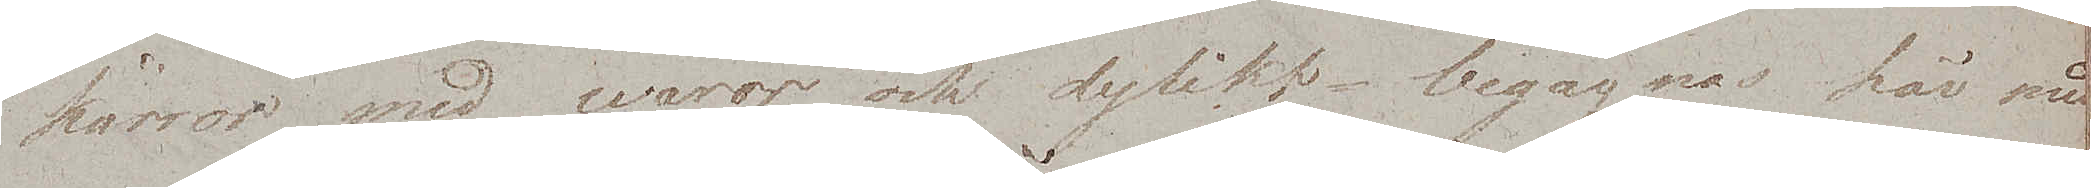kärror med waror och dylikt begagnas här med
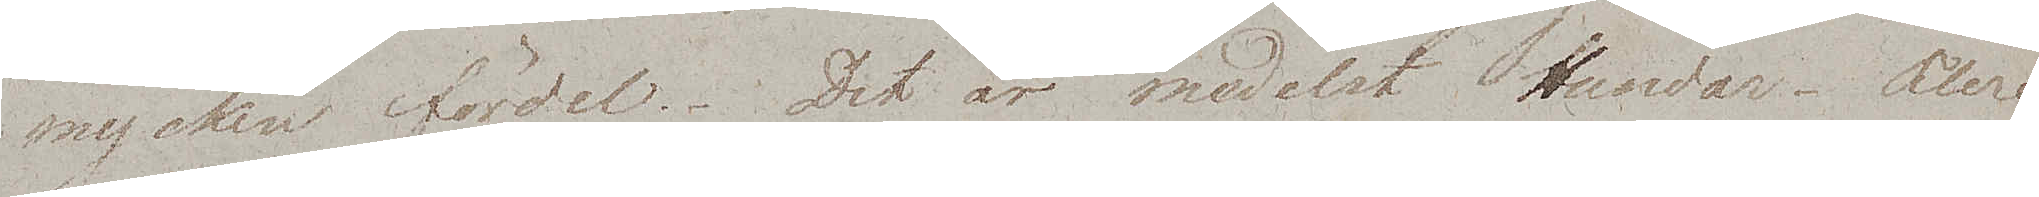mycken fördel. Det är medelst Hundar. Flere
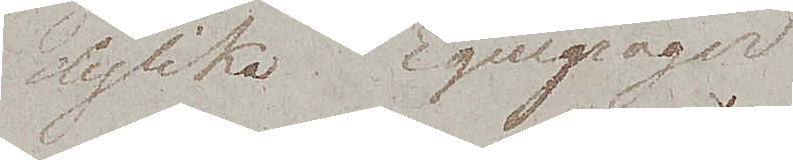dylika Equipager
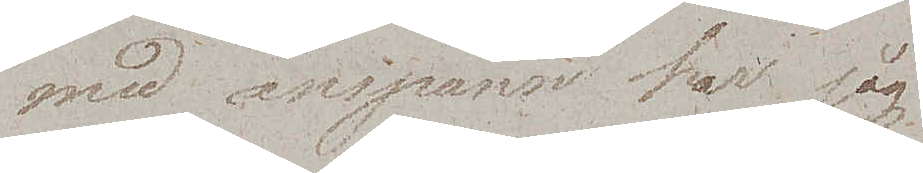med anspann har jag
